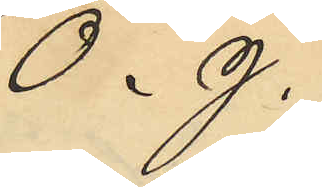O. J.
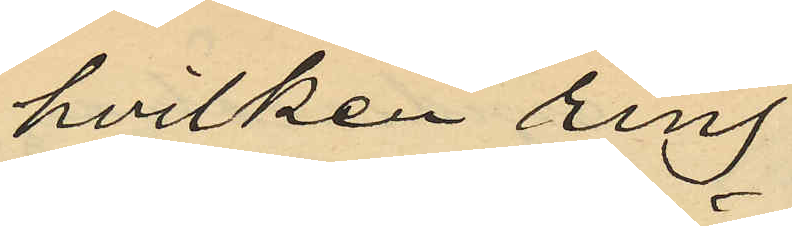hvilken ring
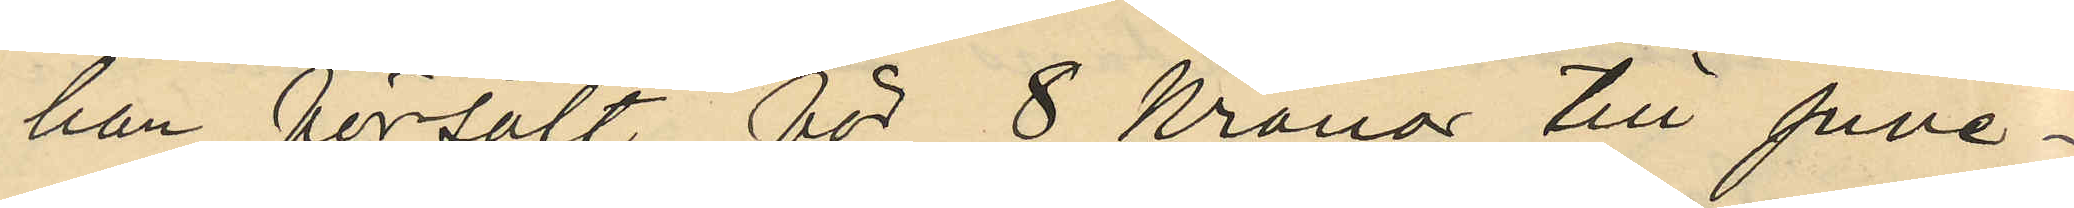han försålt för 8 Kronor till juve¬
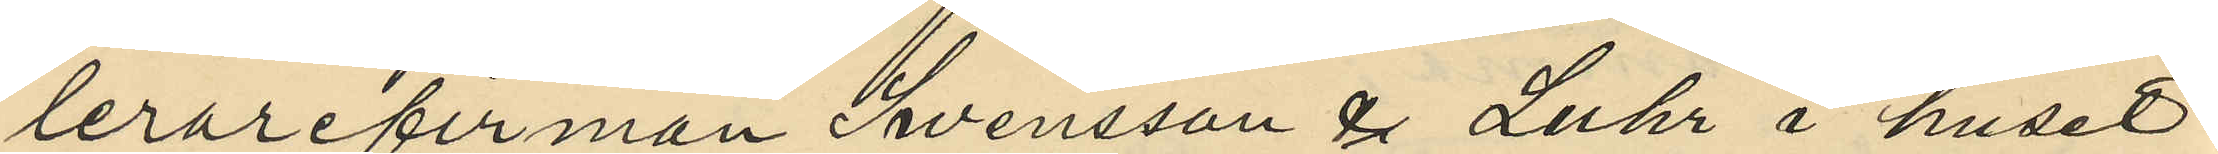lerarefirman Svensson & Luhr i huset
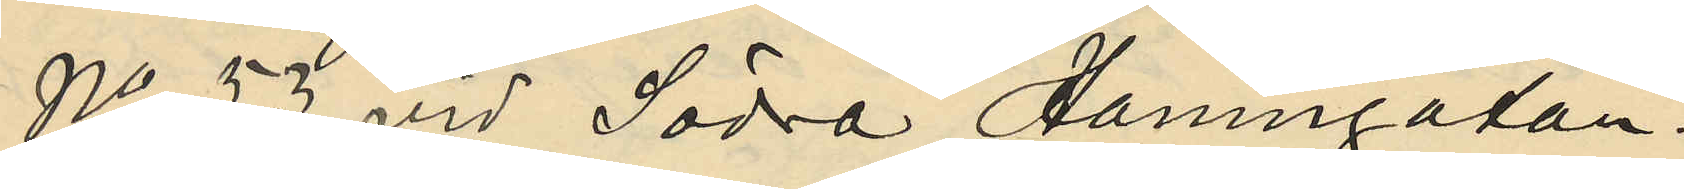No 53 vid Södra Hamngatan.
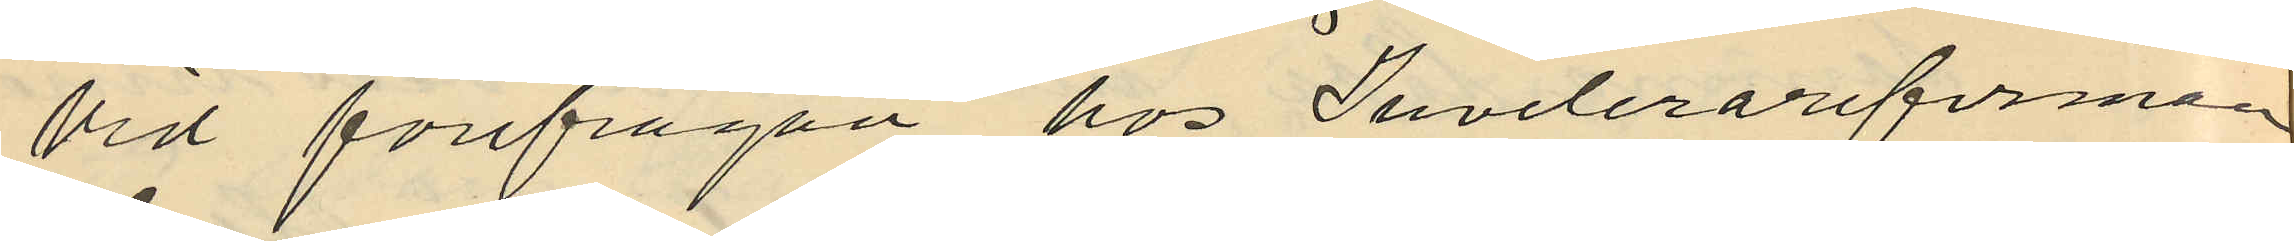Vid förfrågan hos Juvelerarefirman
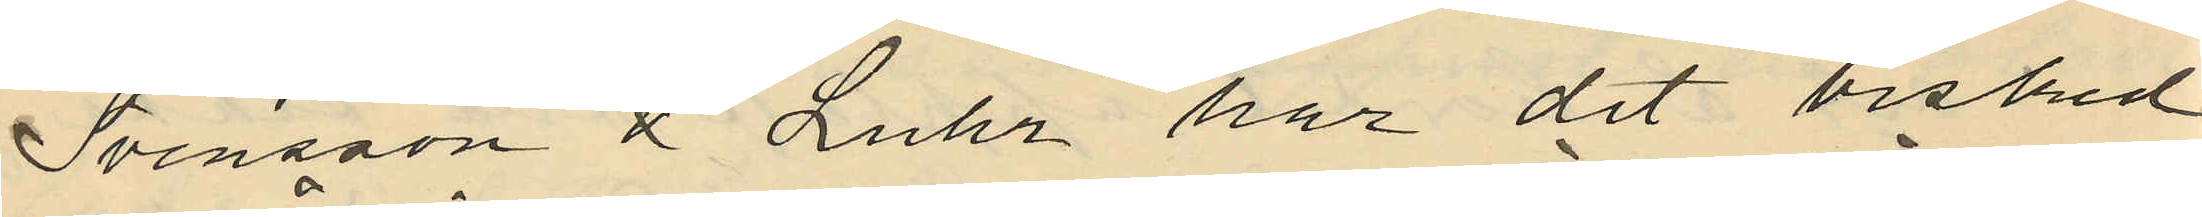Svensson å Luhr har det besked
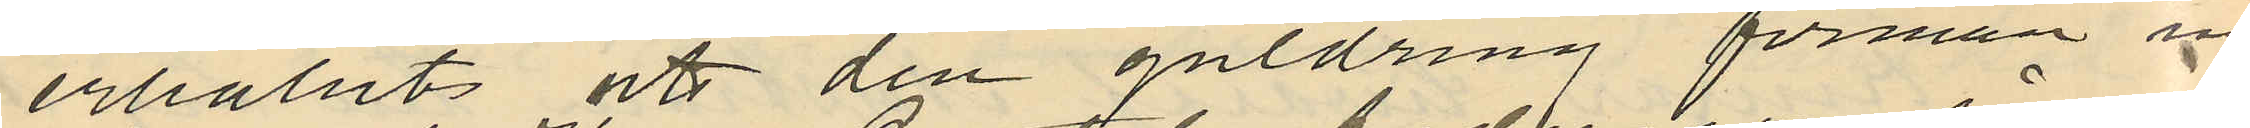erhållit att den guldring förman in¬
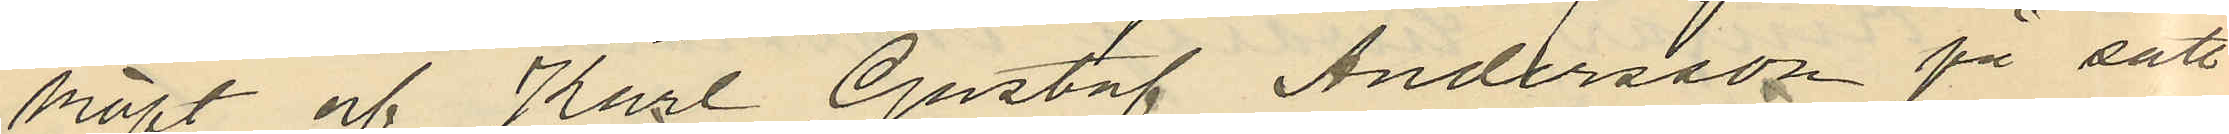köpt och Karl Gustaf Andersson på sätt
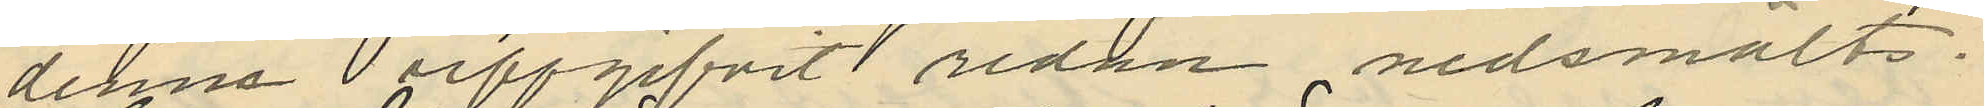denne uppgifvit redan nedsmälts.
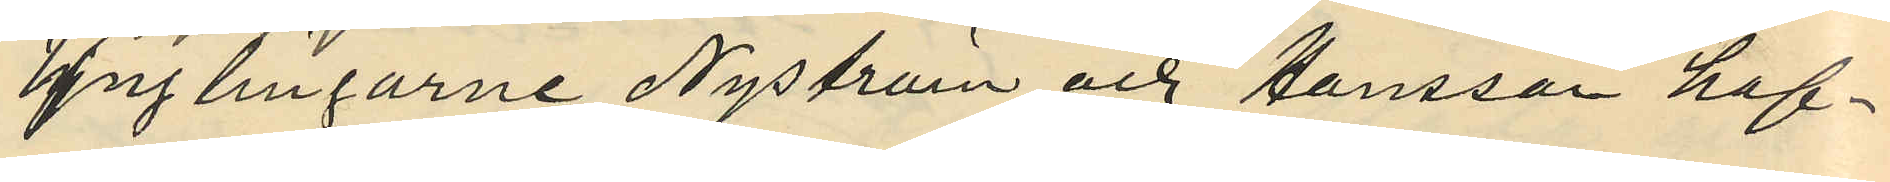Ynglingarne Nyström och Hansson haf¬
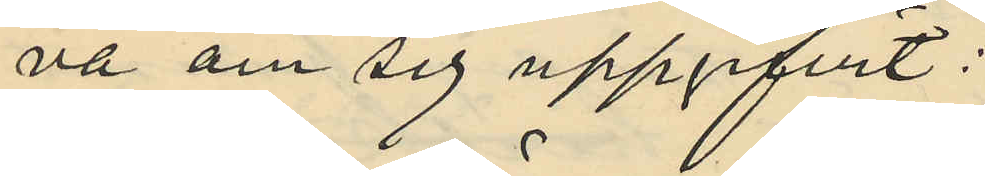va om sig uppgifvit:
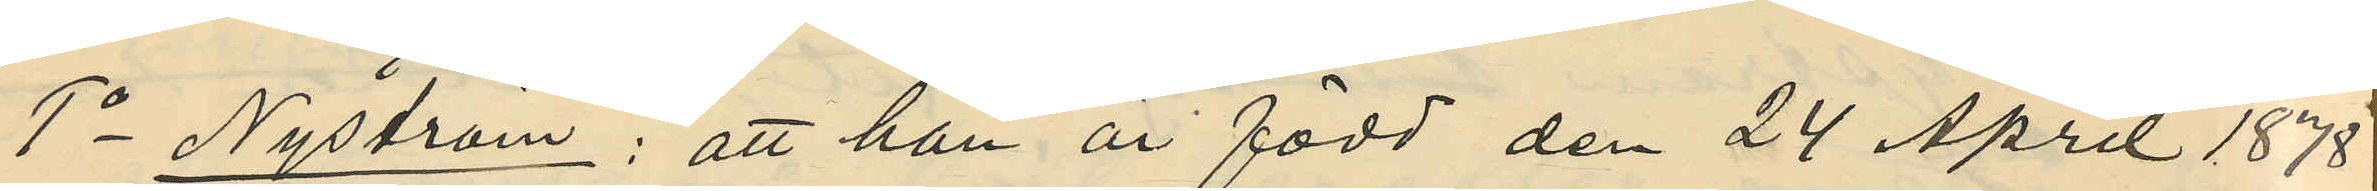1o Nyström: att han är född den 24 April 1878
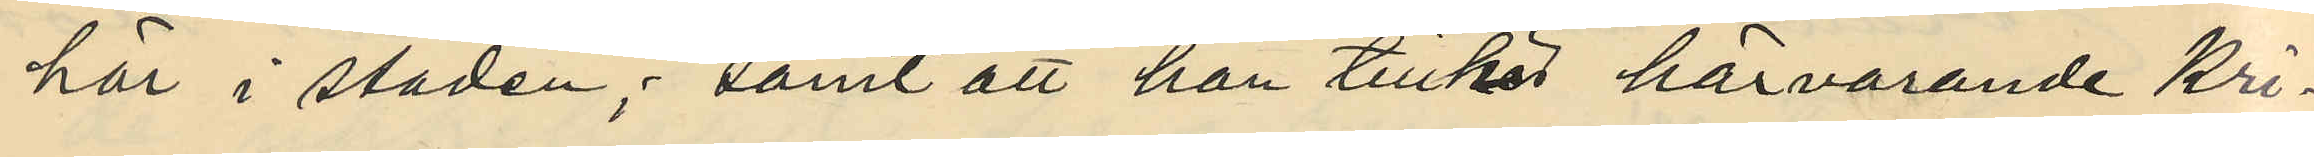här i staden; samt att han tillhör härvarande Kri¬
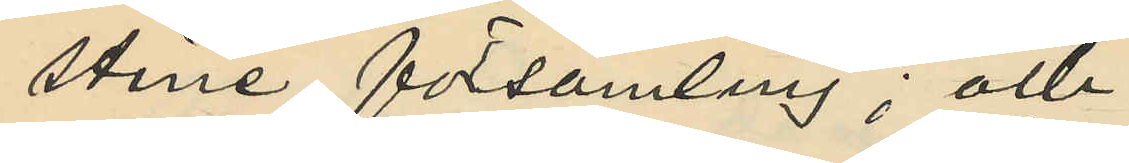stine församling; och
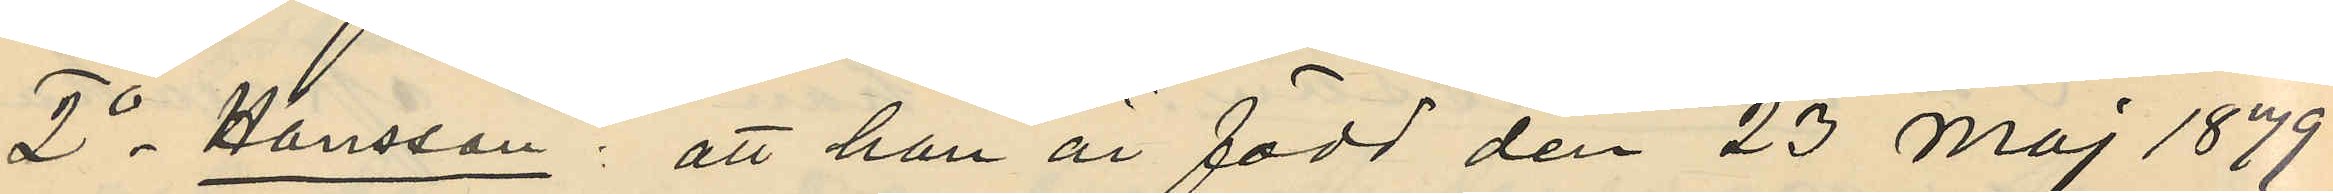2o Hansson: att han är född den 23 Maj 1879
